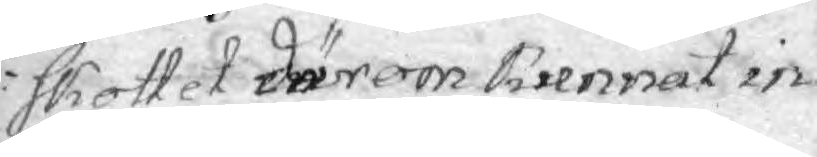skottet därom kunnat in¬
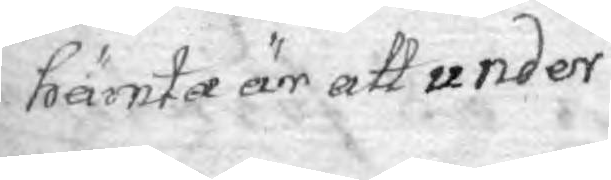hämta är att under
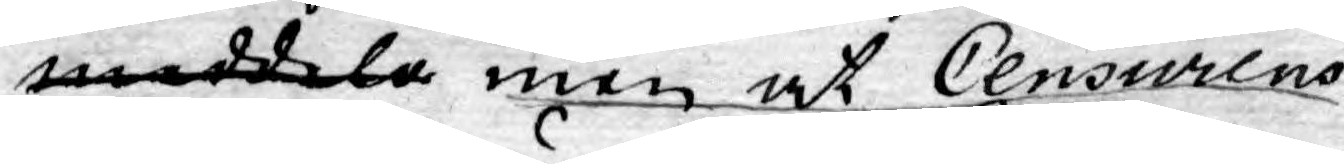meddela men at Censurens
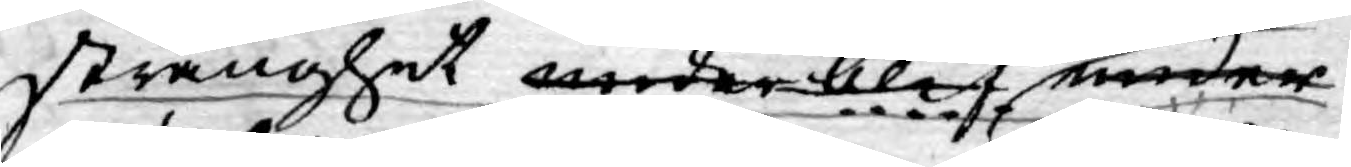stränghet under blef under
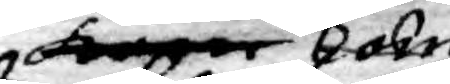kan
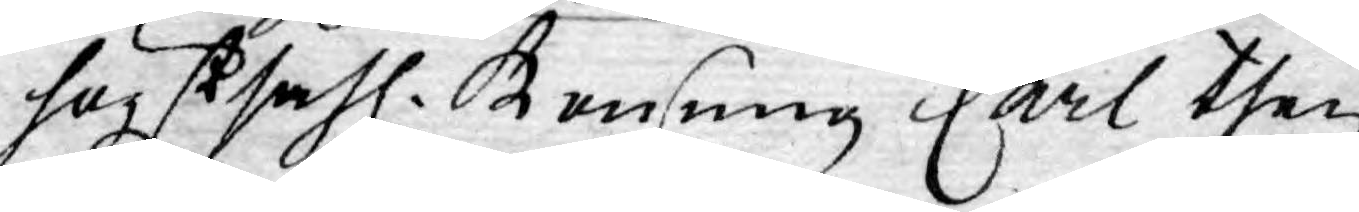högst sahl. Konung Carl then
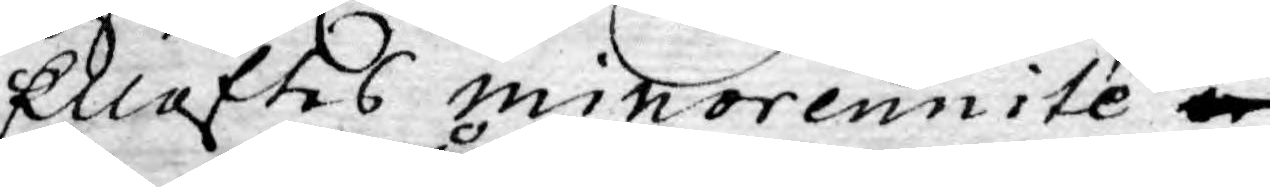Elleftes minorennité
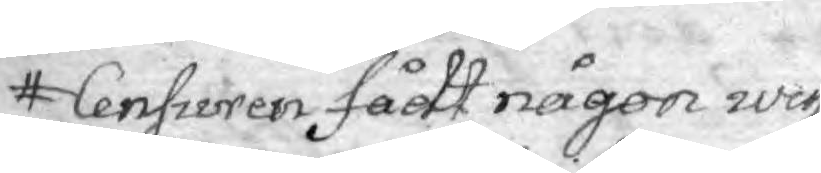Censuren fådt någon wiss
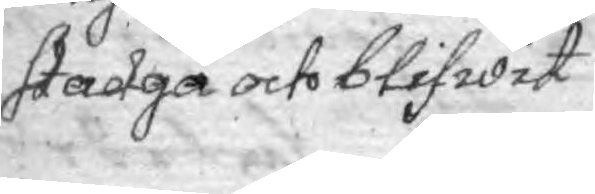skadga och blifwit
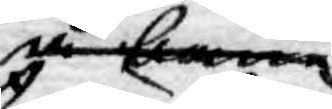å ban
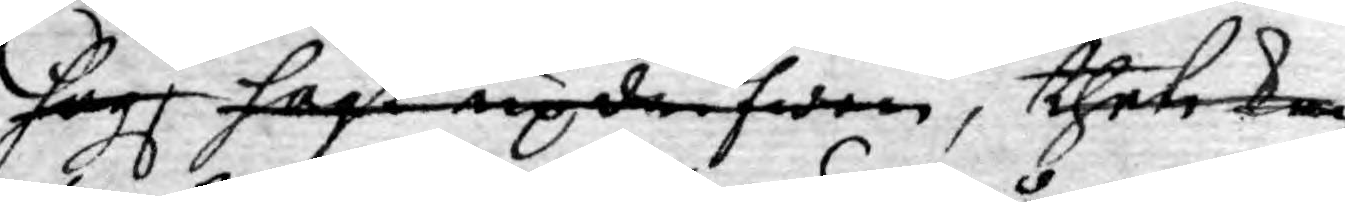högl högst updrifwen, thet kan
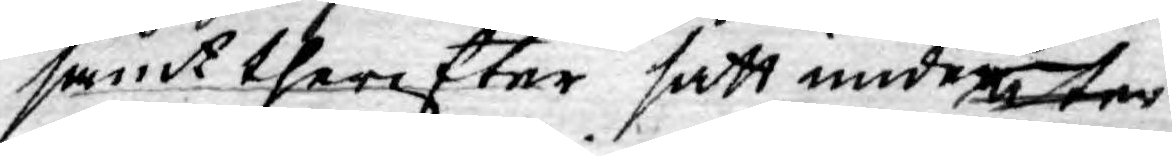samt therefter satt under åter
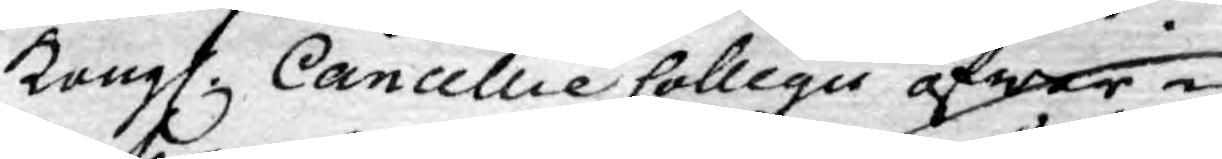Kongl. Cancellie Collegii öfwer¬
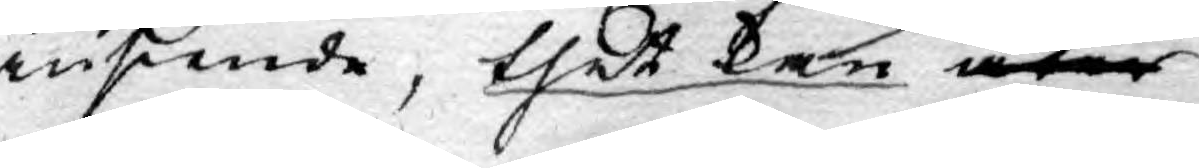inseende, thet kan åter
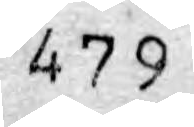479
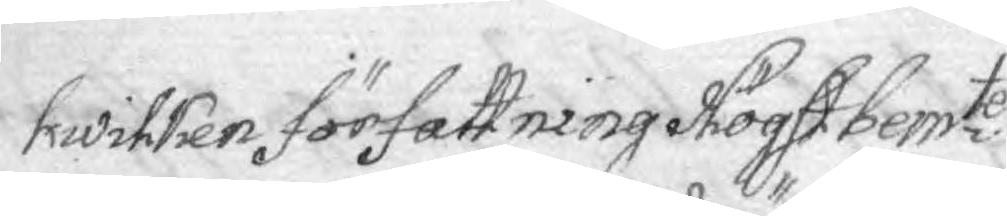hwilken författning Högst bemte
